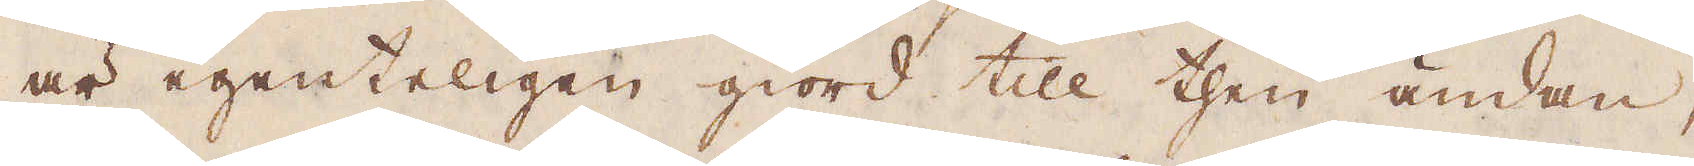är egenteligen giord till then ändan,
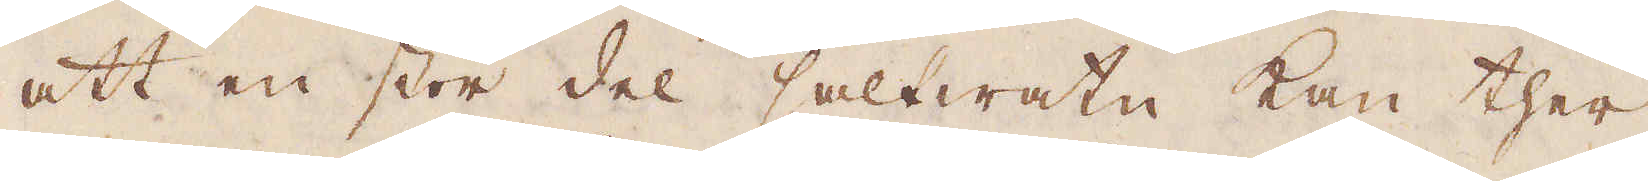att en stor del saltwatn kan ther
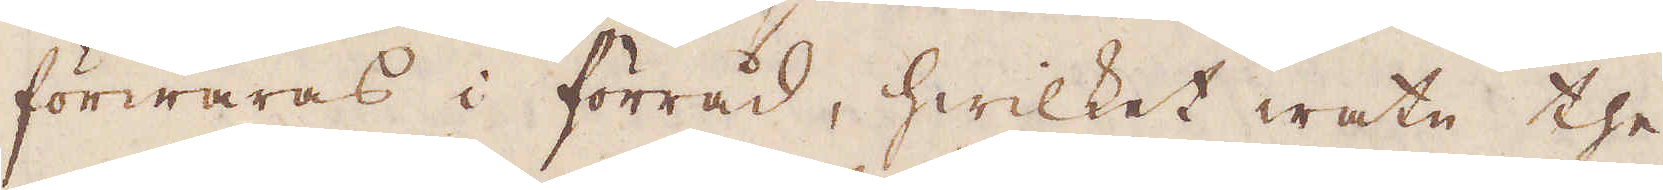förwaras i förråd, hwilket watn the
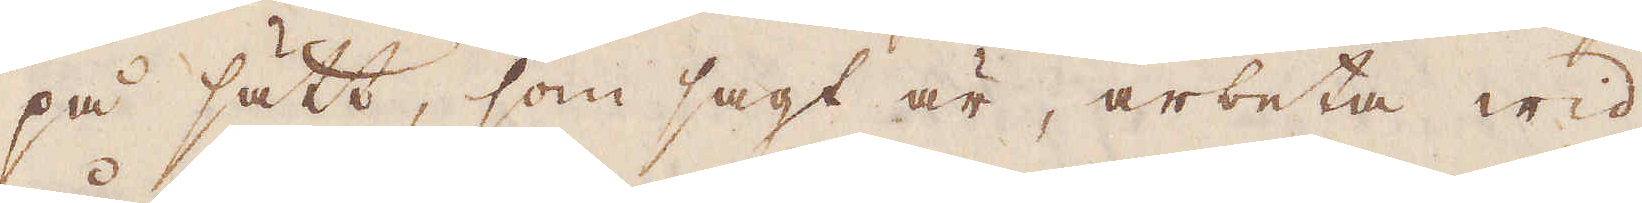på sätt, som sagt är, arbeta wid
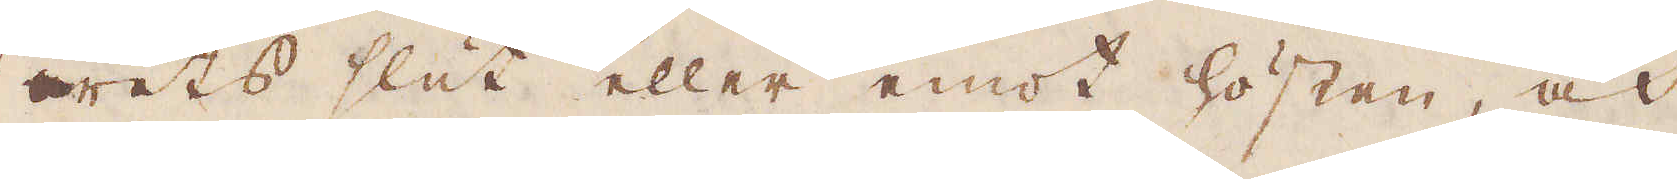årets slut eller emot hösten, och
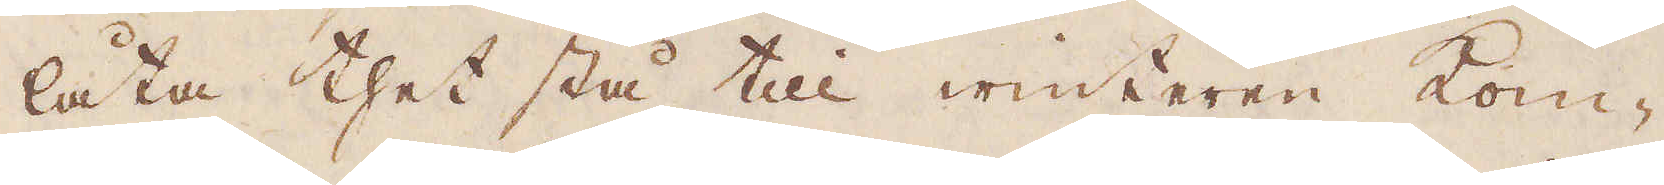låta thet stå till winteren kom-
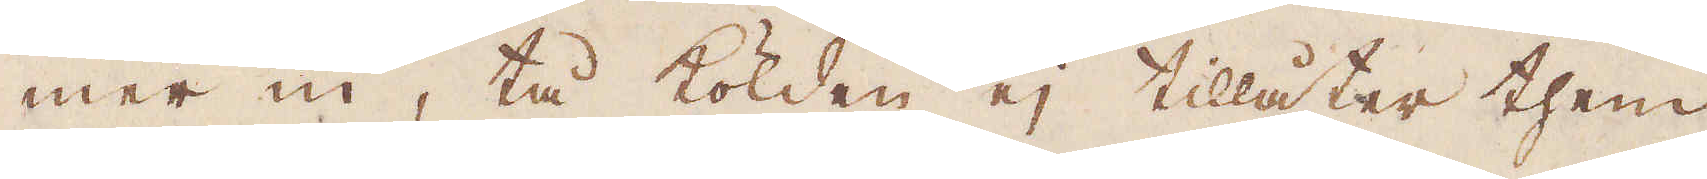mer in, tå kölden ej tillåter them
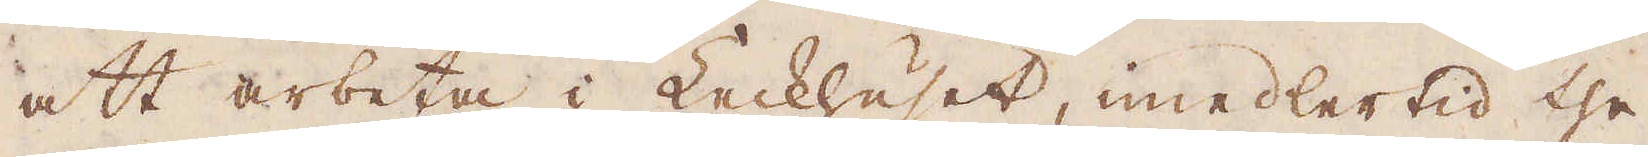att arbeta i Leckhuset, imedlertid the
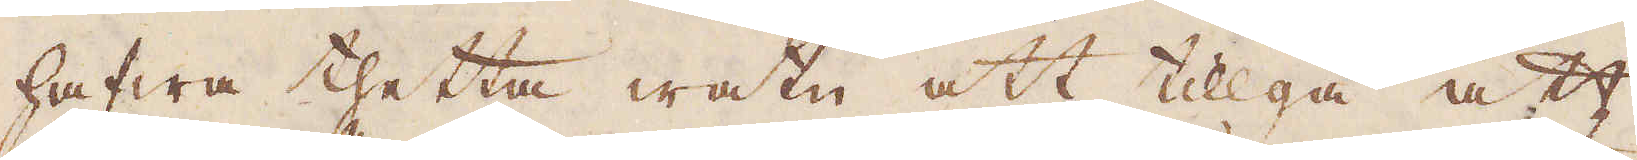hafwa thetta watn att tillgå att
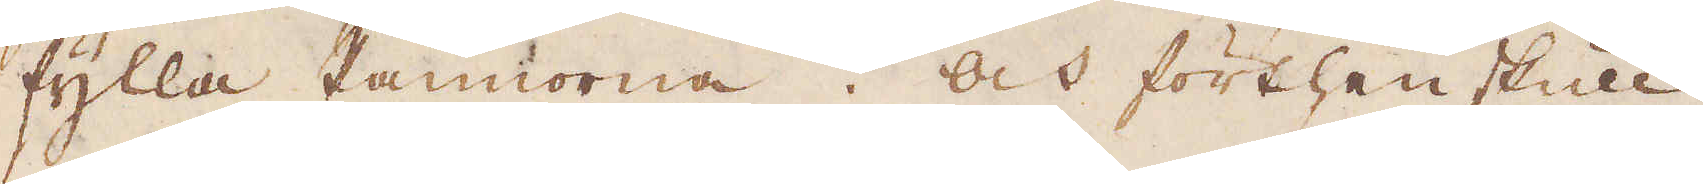fylla Pannorna. Och förthenskull
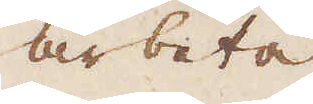arbeta
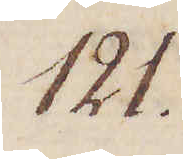121.
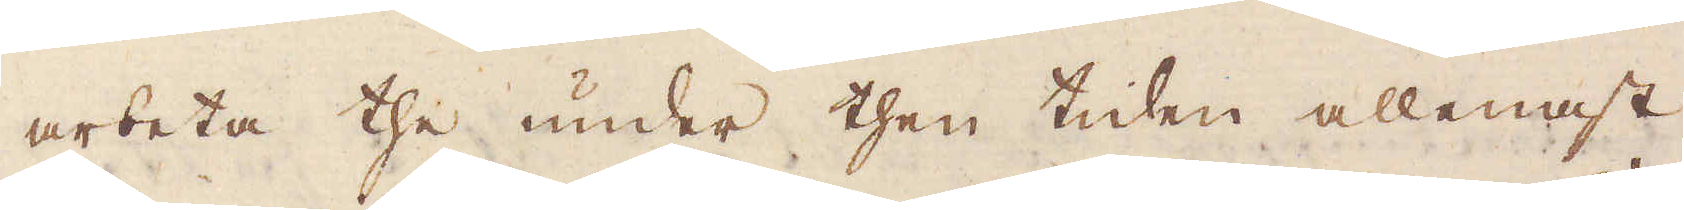arbeta the under then tiden allenast
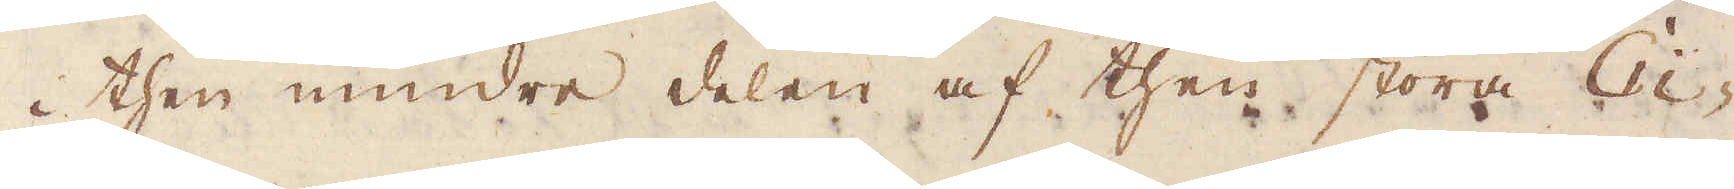i then mindre delen af then stora Ci-
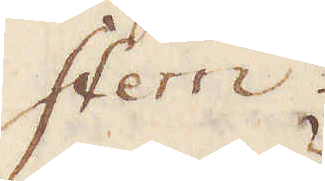stern.
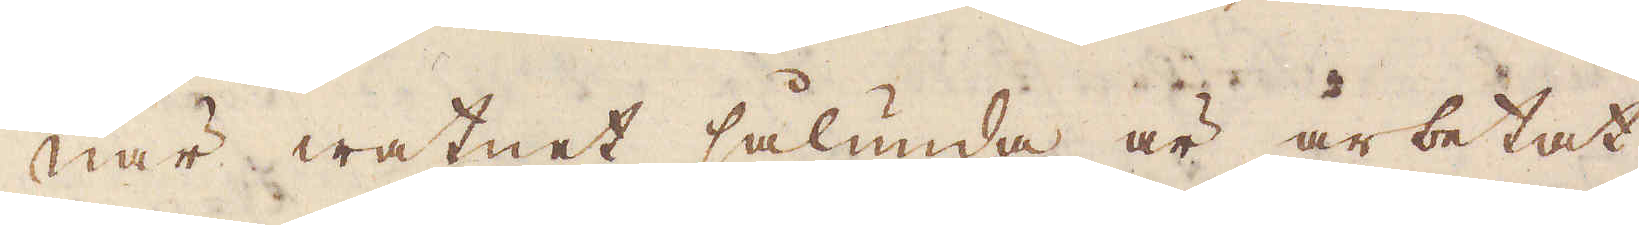När watnet sålunda är arbetat
